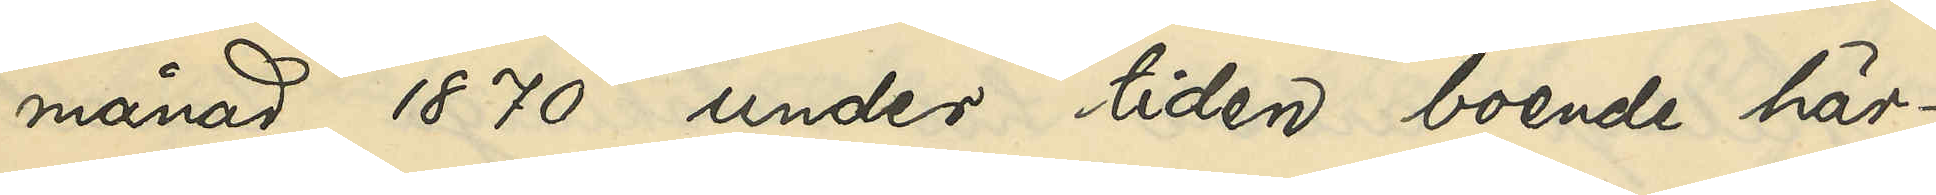månad 1870 under tiden boende här¬
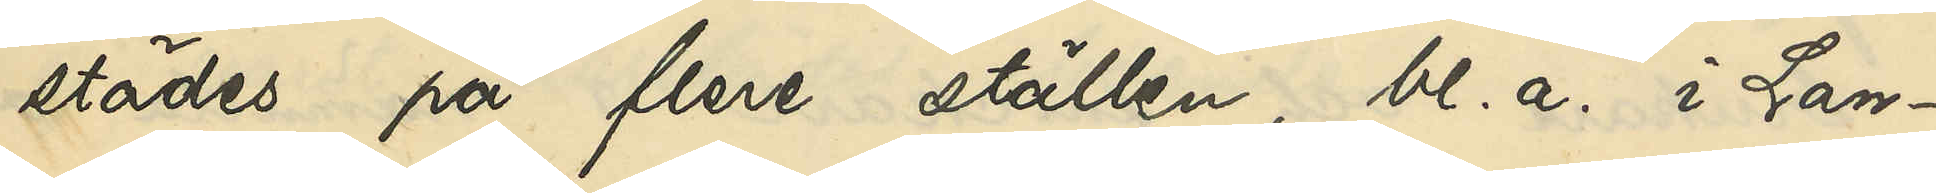städes på flere ställen, bl. a. i Lan¬
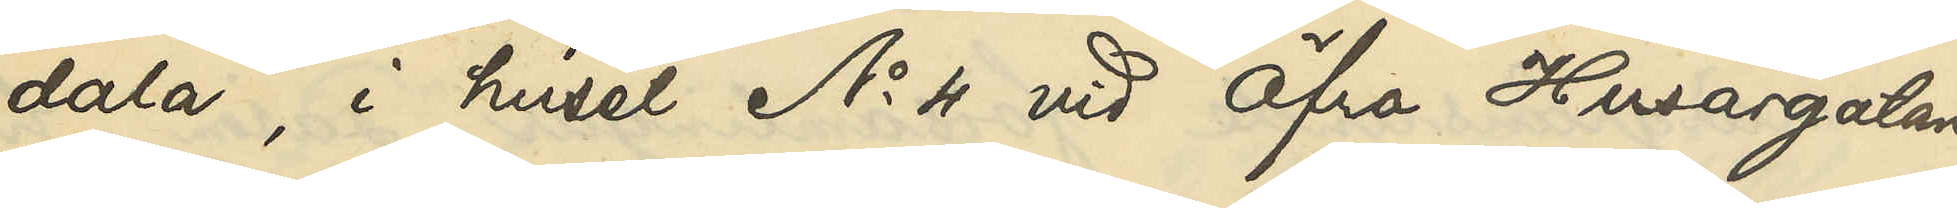dala, i huset No 4 vid Öfra Husargatan
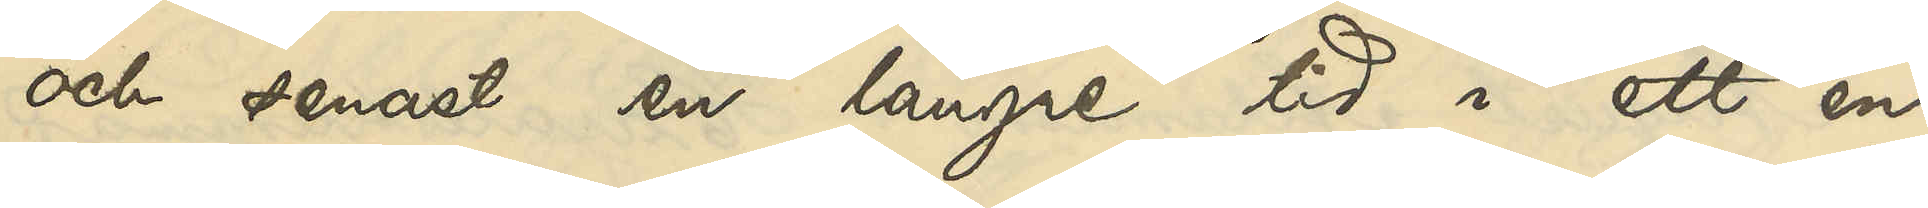och senast en längre tid i ett en
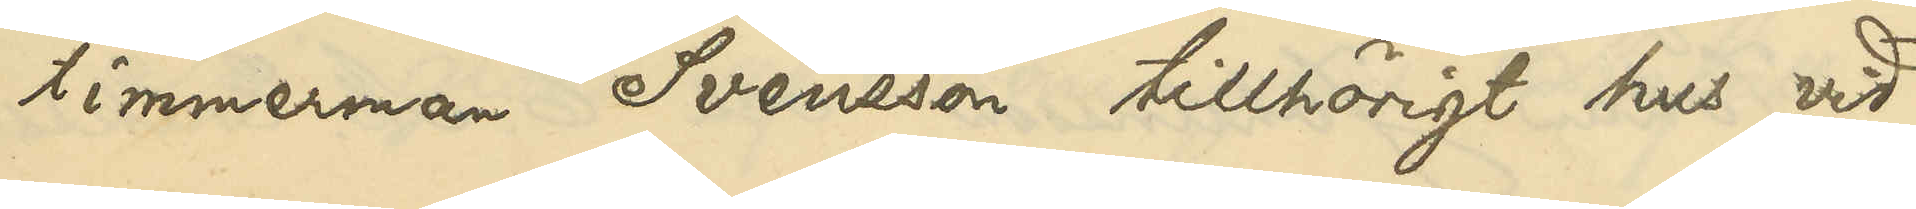timmerman Svensson tillhörigt hus vid
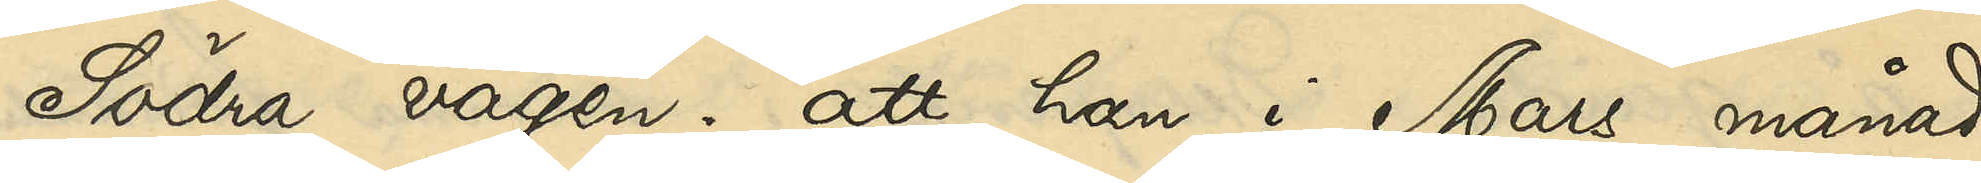Södra vägen; att han i Mars månad
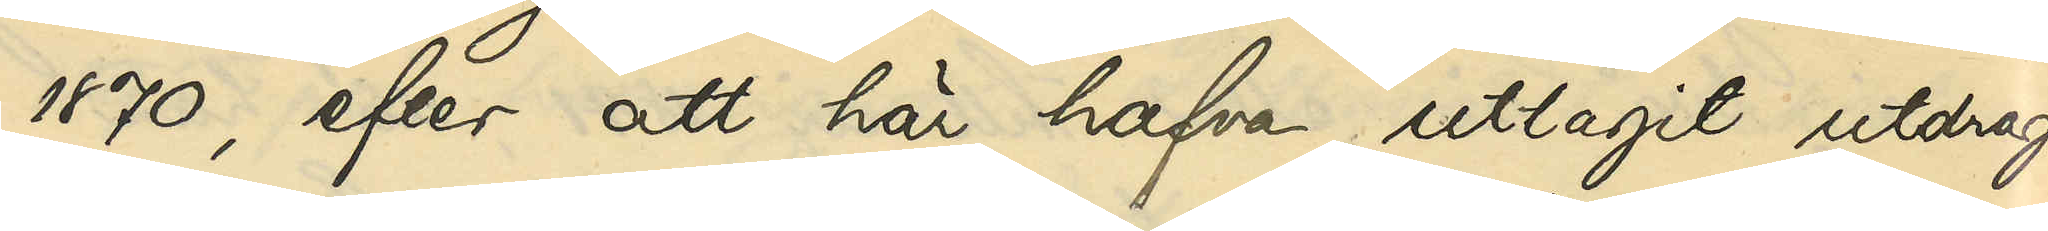1870, efter att här hafva uttagit utdrag
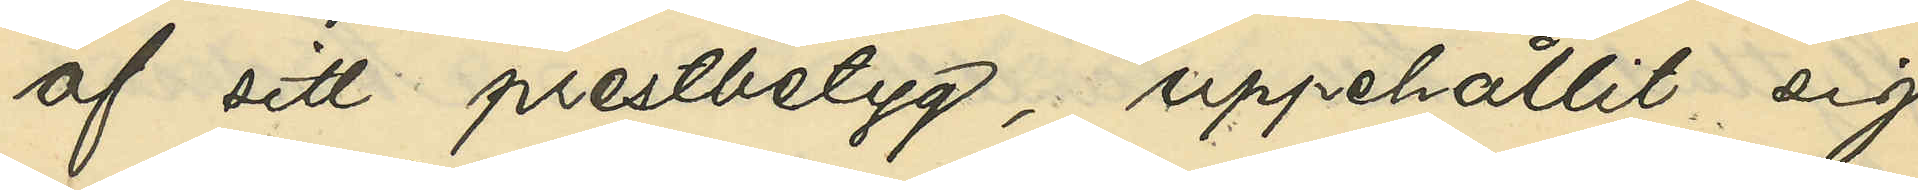af sitt prestbetyg, uppehållit sig
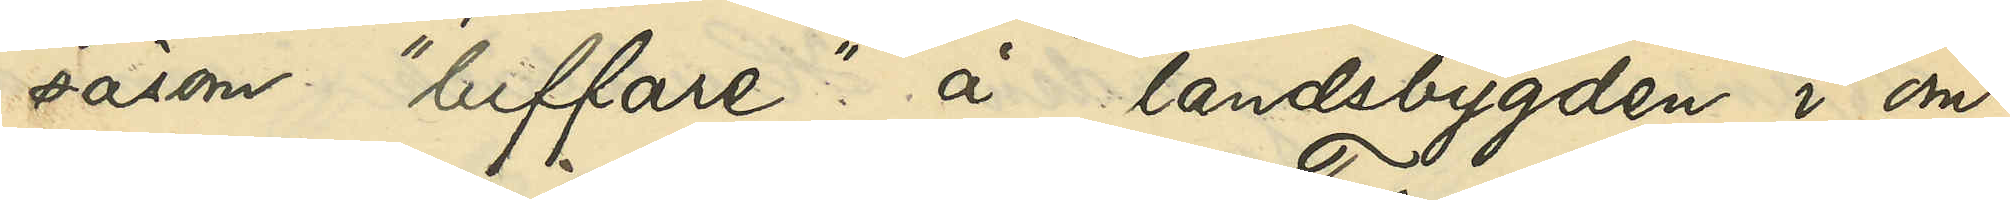såsom "luffare" å landsbygden i om¬
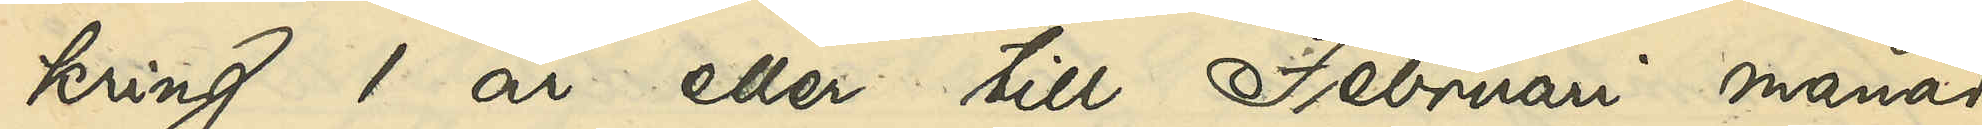kring 1 år eller till Februari månad
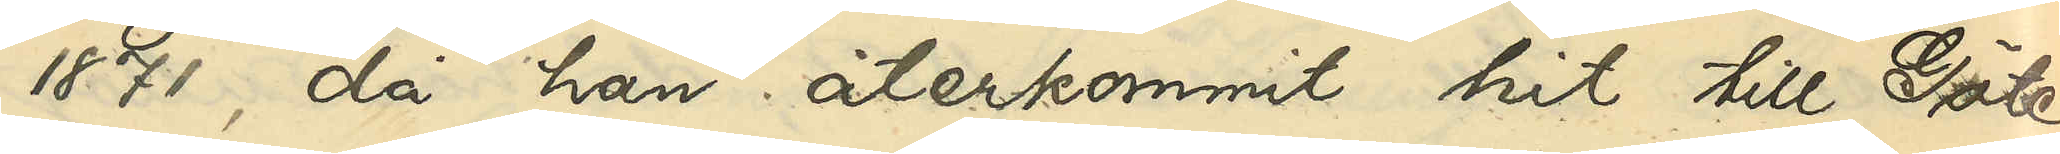1871, då han återkommit hit till Göte¬
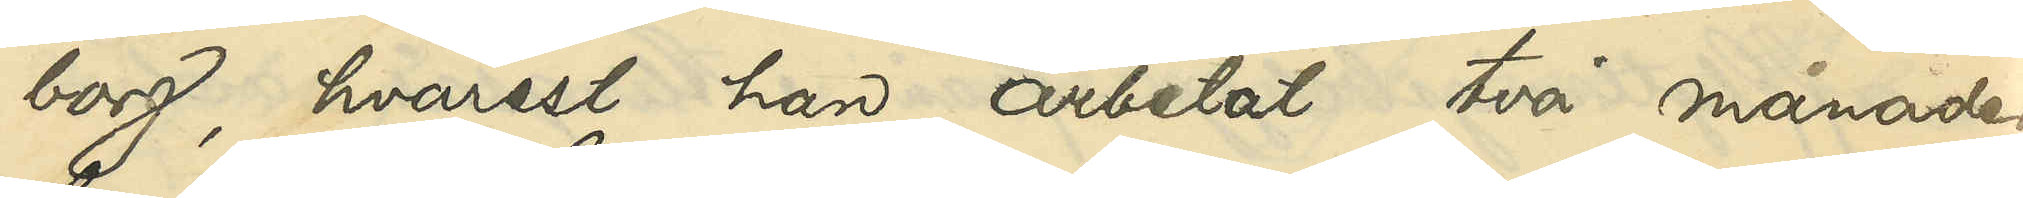borg, hvarest han arbetat två månader
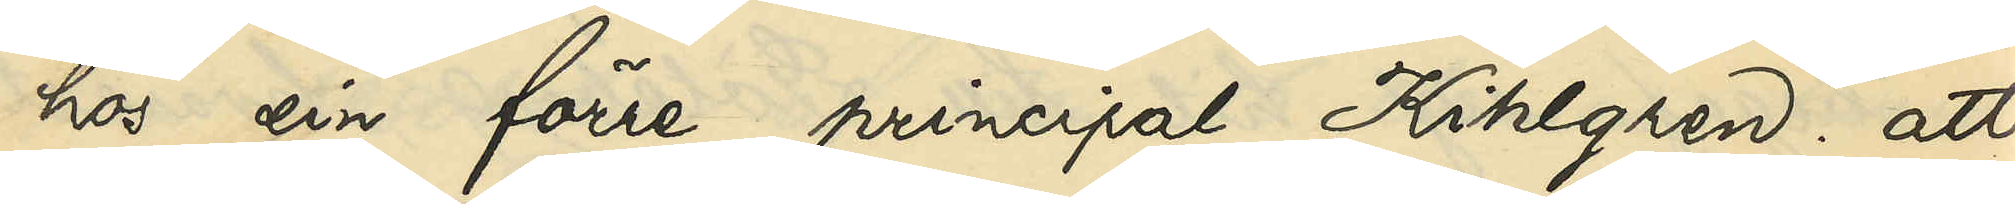hos sin förre principal Kihlgren; att
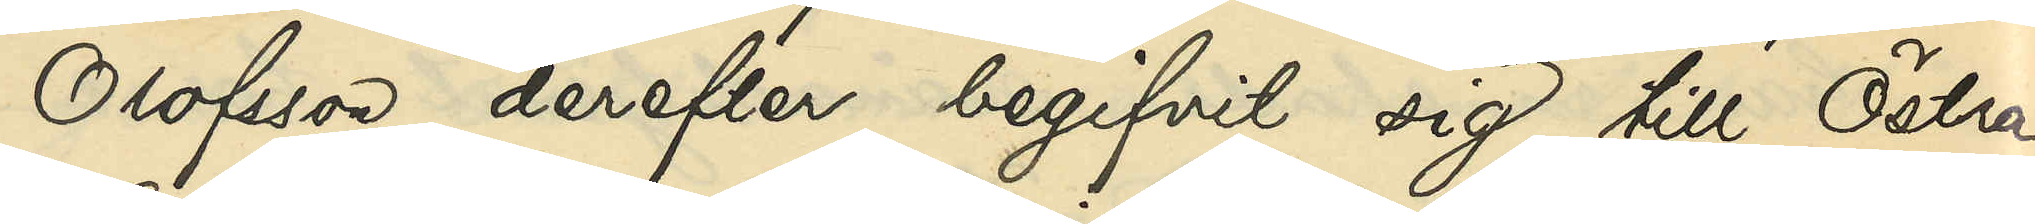Olofsson derefter begifvit sig till Östra
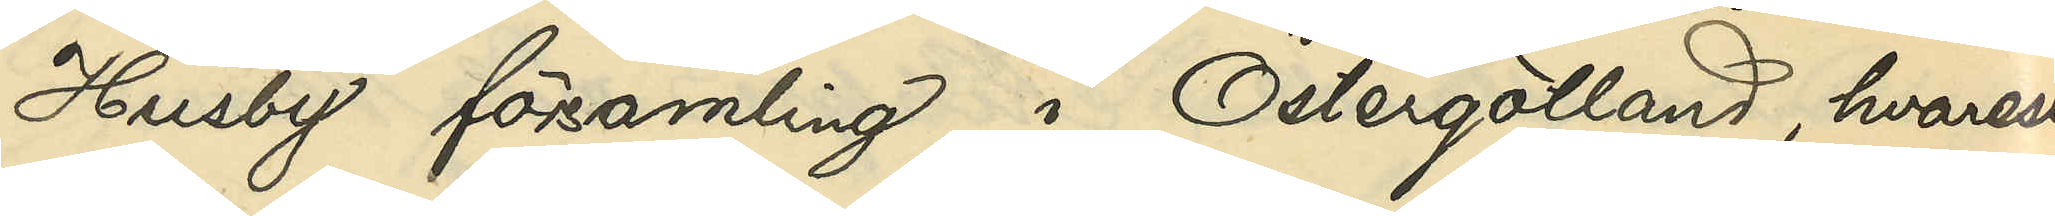Husby församling i Östergötland, hvarest
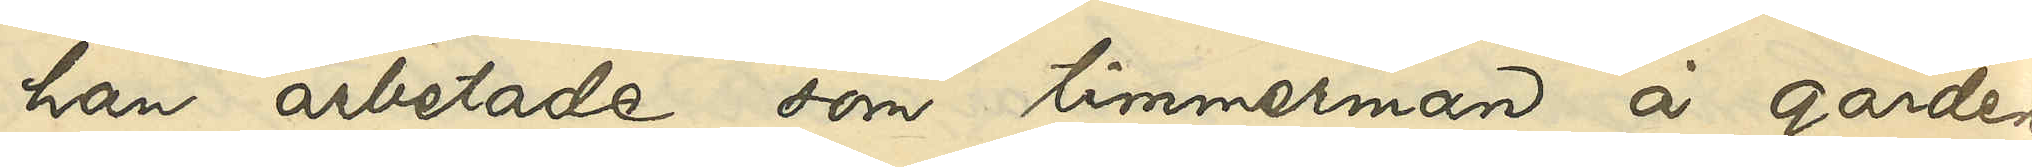han arbetade som timmerman å gården
